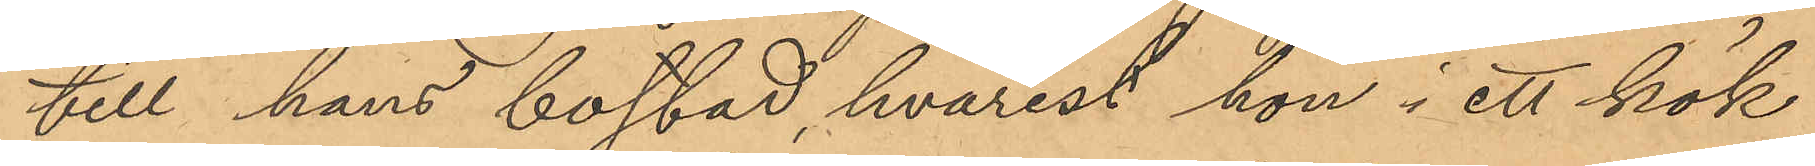till hans bostad, hvarest hon i ett kök
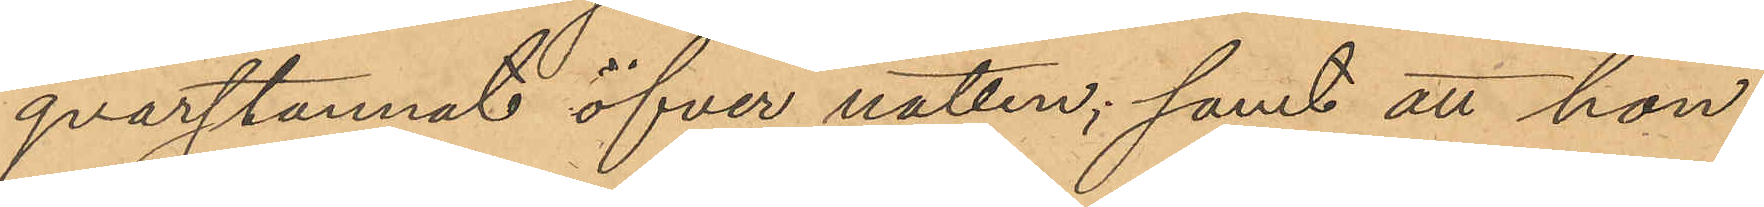qvarstannat öfver natten; samt att hon
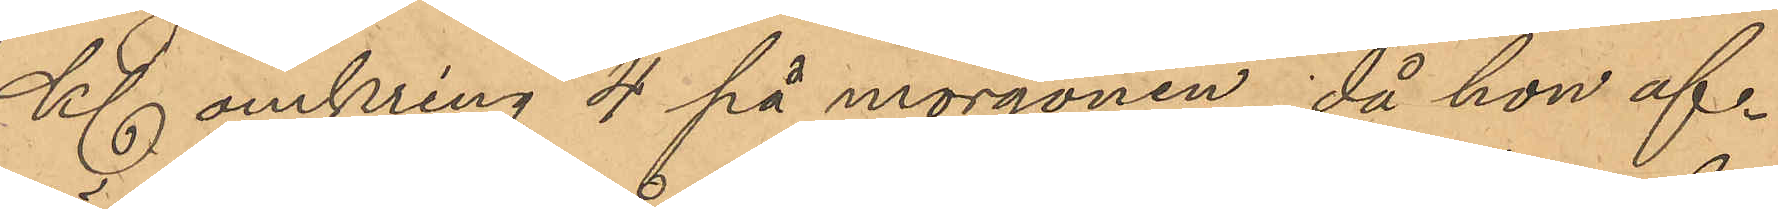Kl. omkring 4 på morgonen, då hon af¬
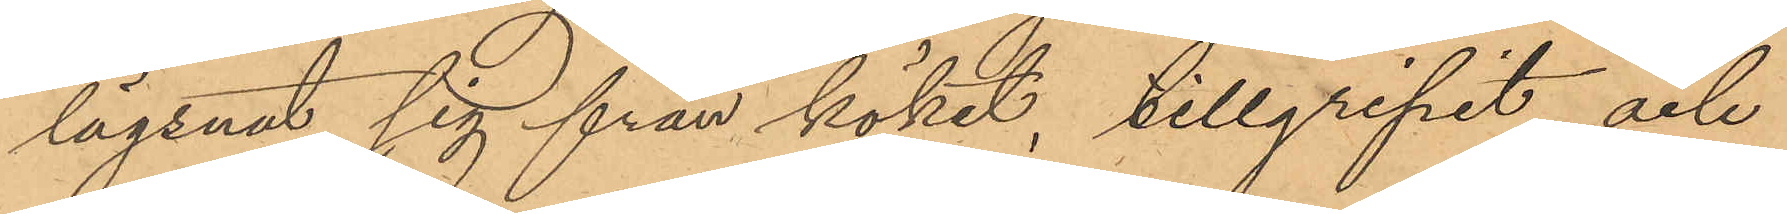lägsnat sig från köket, tillgripit och
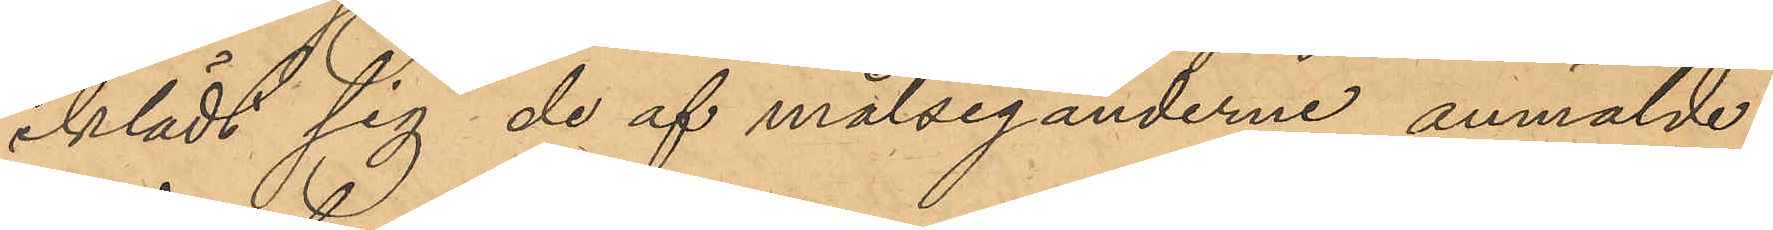iklädt sig de af målseganderne anmälde
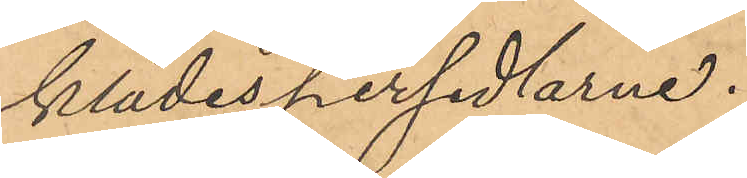klädespersedlarne.
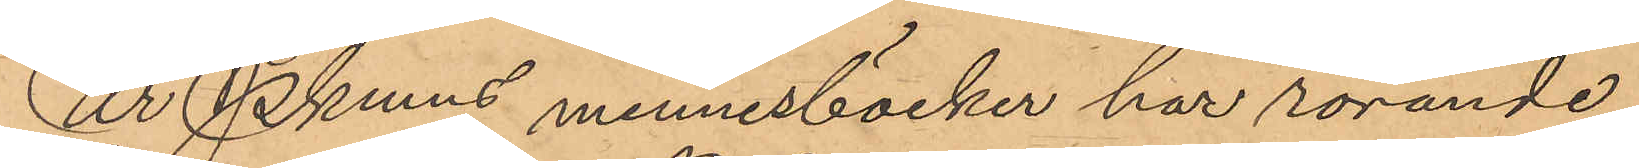Ur Pkmns minnesböcker har rörande
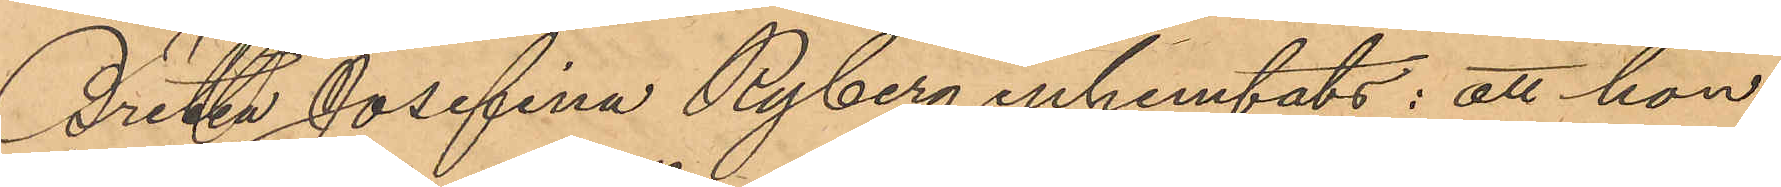Britta Josefina Ryberg inhemtats: att hon
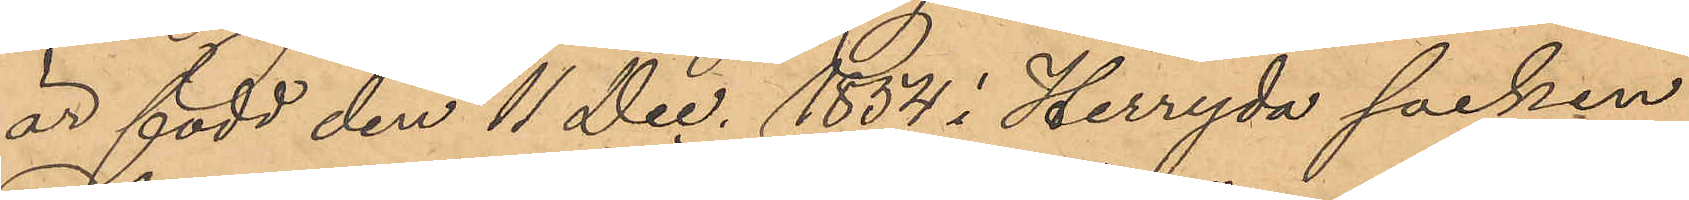är född den 11 Dec. 1854 i Herryda socken
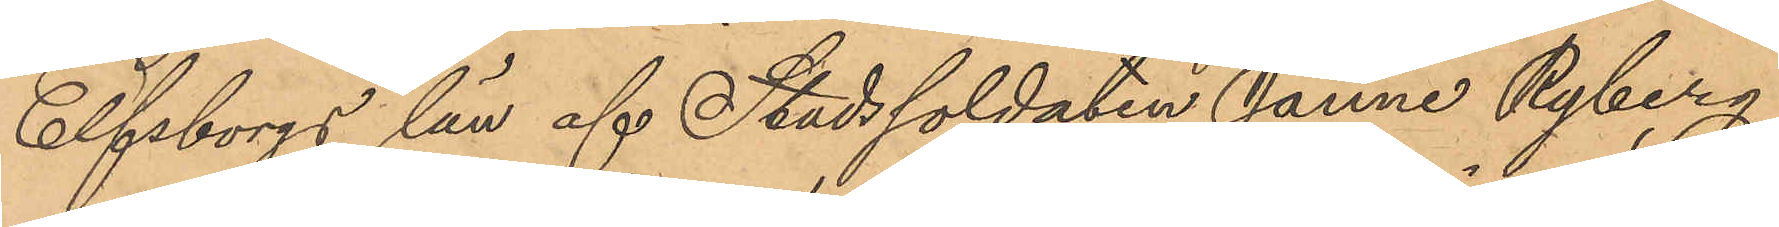Elfsborgs län af Stadssoldaten Janne Ryberg
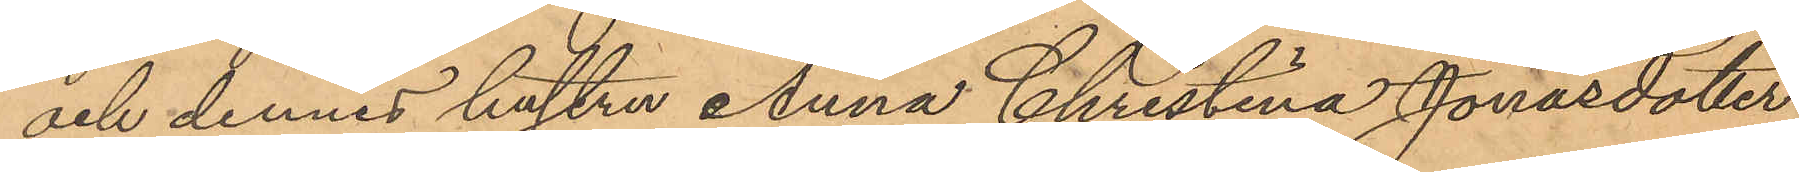och dennes hustru Anna Christina Jonasdotter,
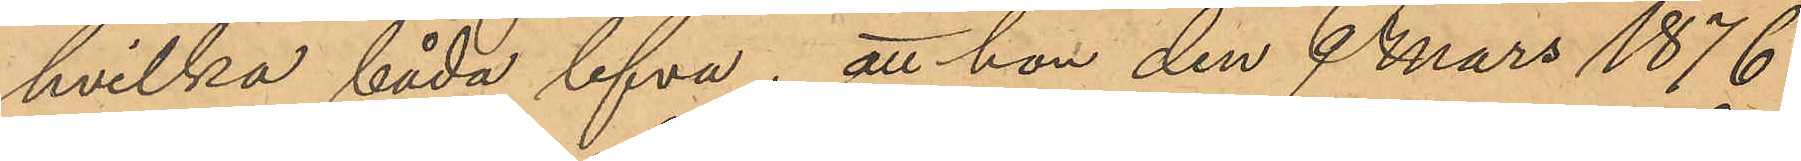hvilka båda lefva; att hon den 9 Mars 1876
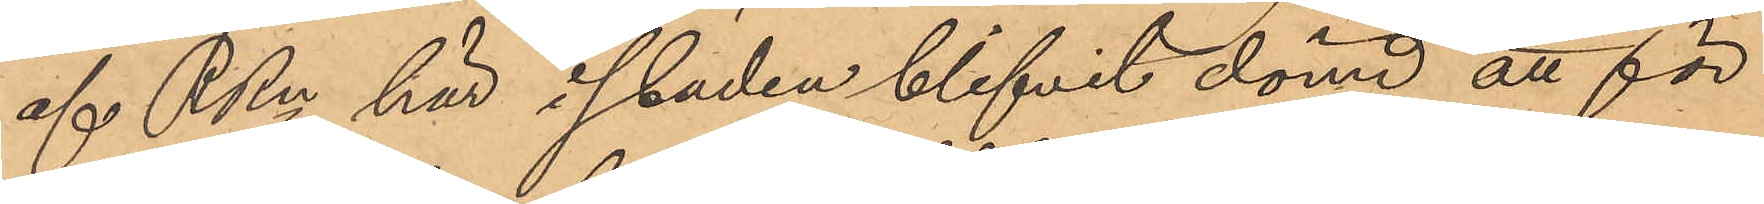af RRn här i staden blifvit dömd att för
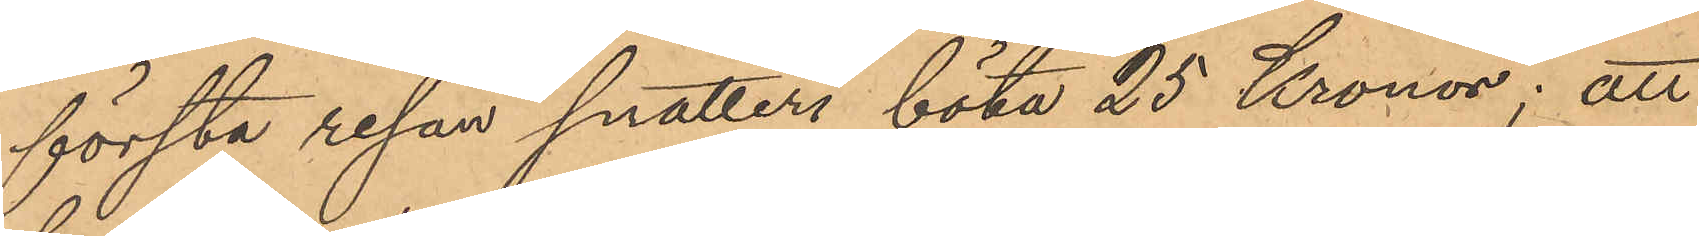första resan snatteri böta 25 Kronor; att
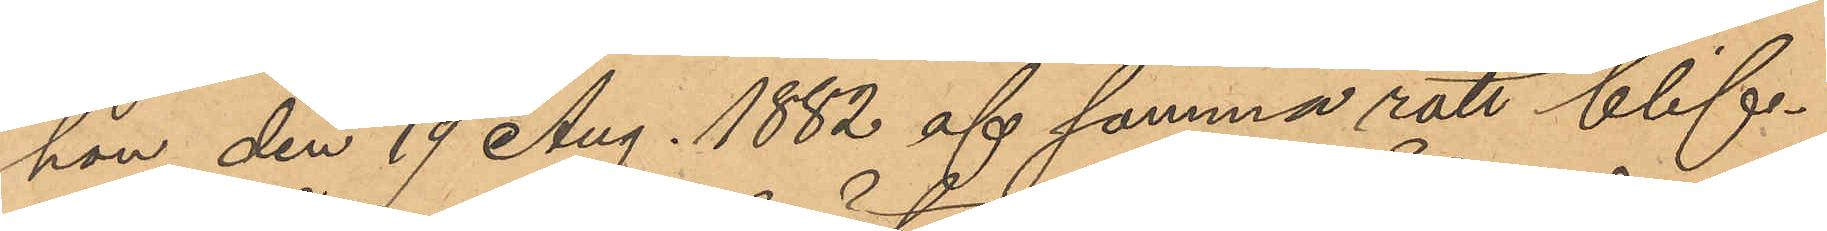hon den 19 Aug. 1882 af samma rätt blif¬
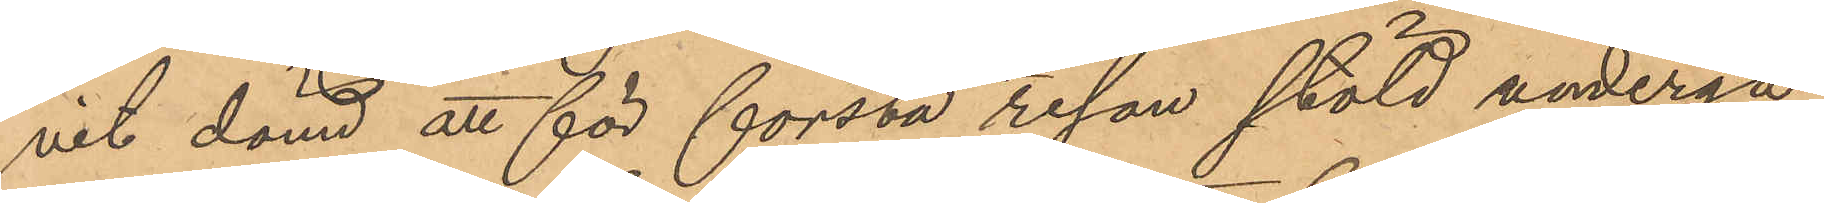vit dömd att för första resan stöld undergå
